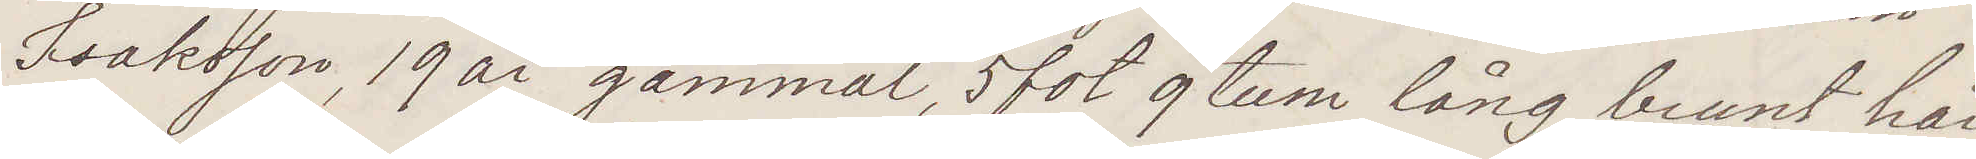Isaksson, 19 år gammal, 5 fot 9 tum lång, brunt hår,
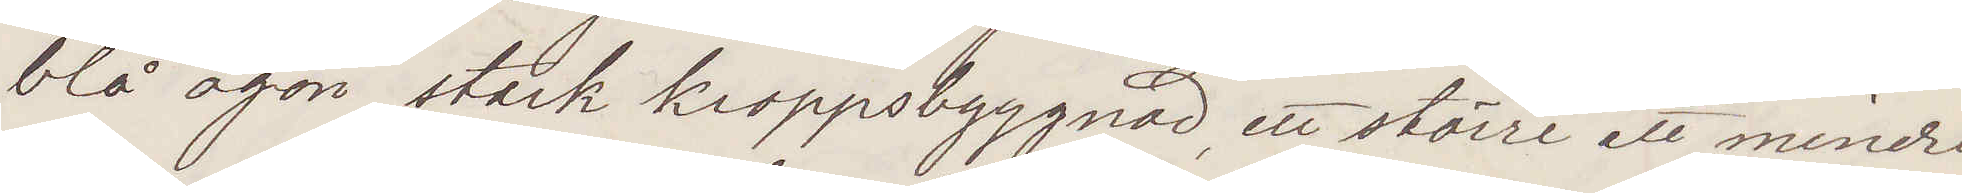blå ögon, stark kroppsbyggnad, ett större ett mindre
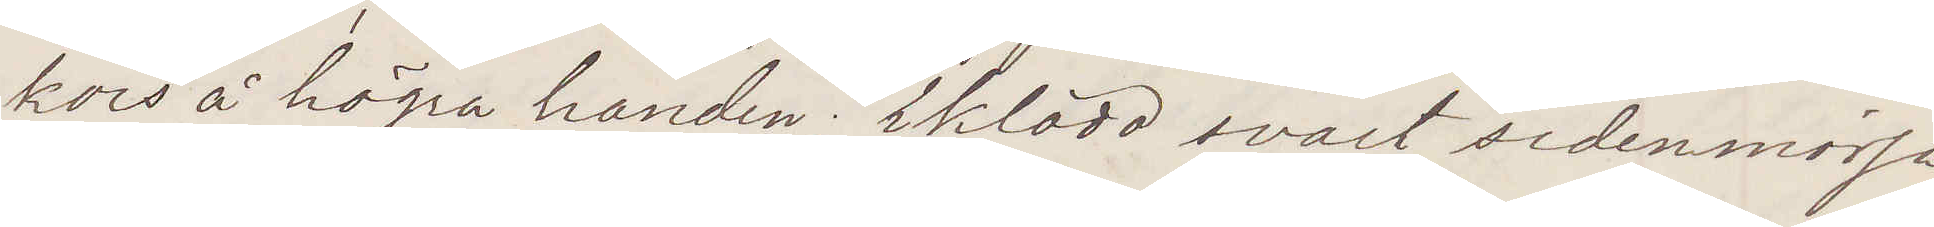kors å högra handen; Iklädd svart sidenmössa,
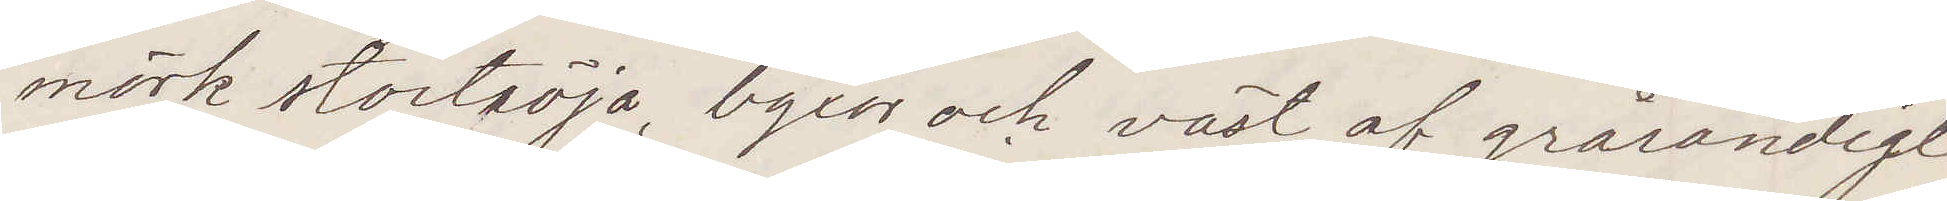mörk stortröja, byxor och väst af grårandigt
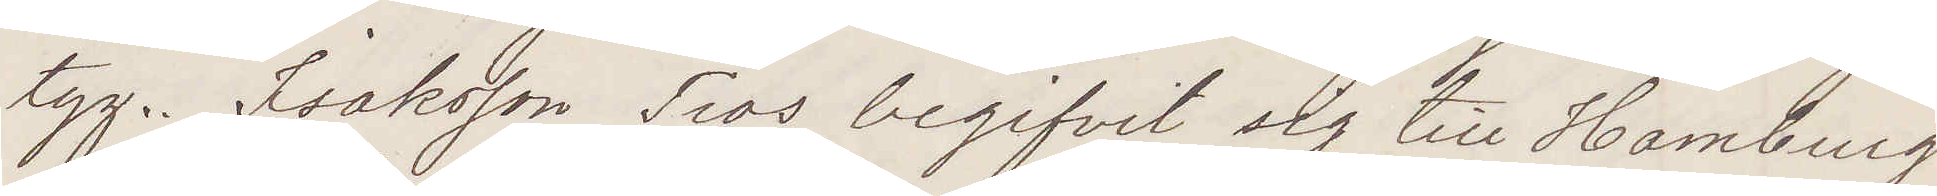tyg. Isaksson Tros begifvit sig till Hamburg
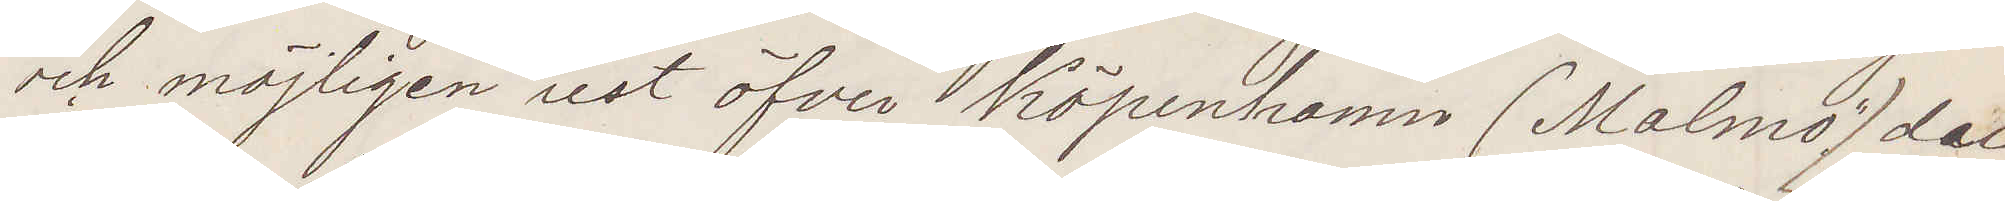och möjligen rest öfver Köpenhamn (Malmö) der
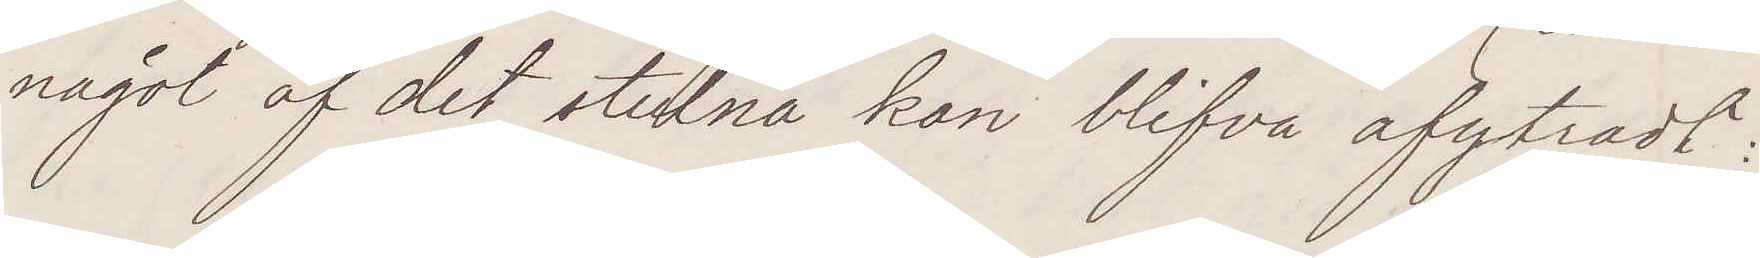något af det stulna kan blifva afytradt.
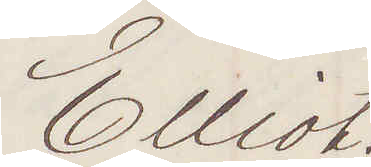Elliot.
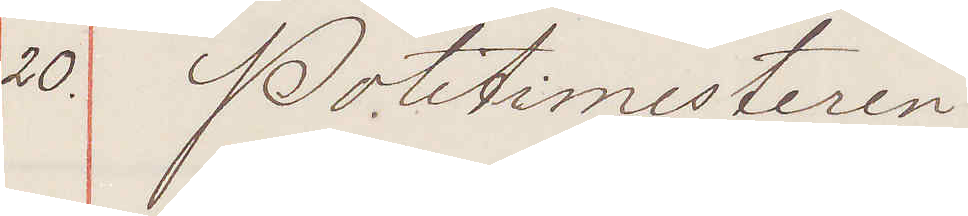20. Politimesteren
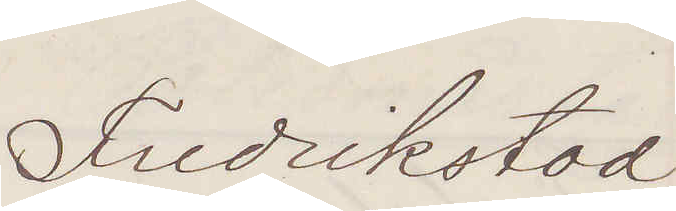Fredrikstad.
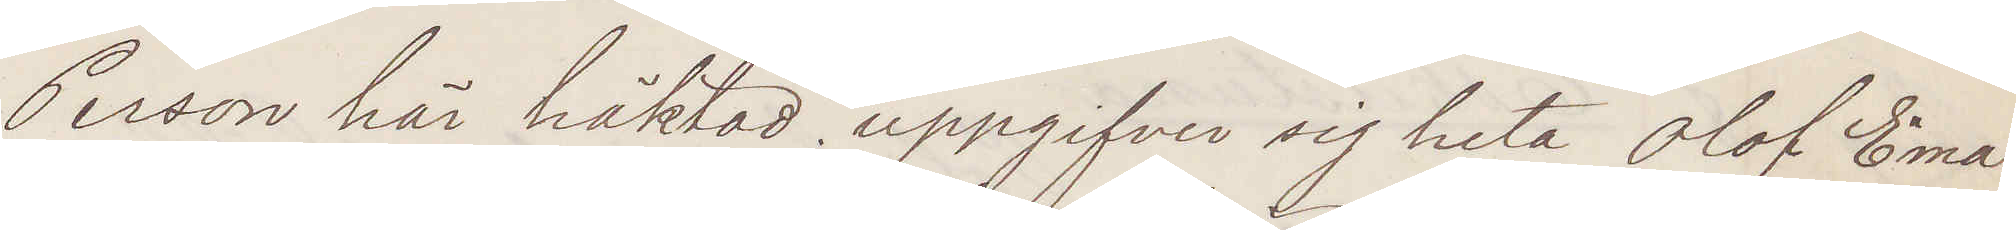Person här häktad uppgifver sig heta Olof Ema¬
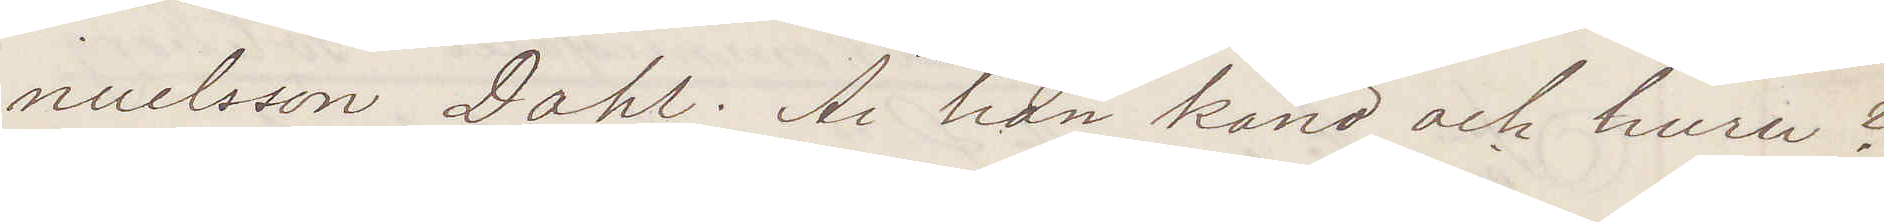nuelsson Dahl. Är han känd och huru?
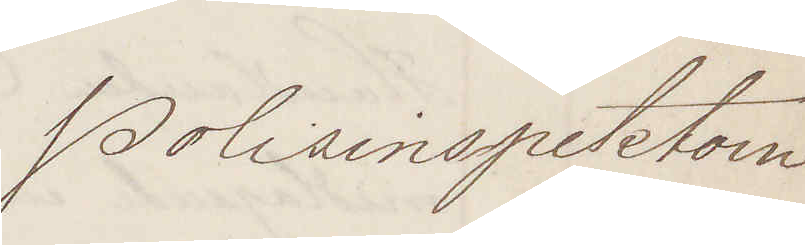Polisinspektorn
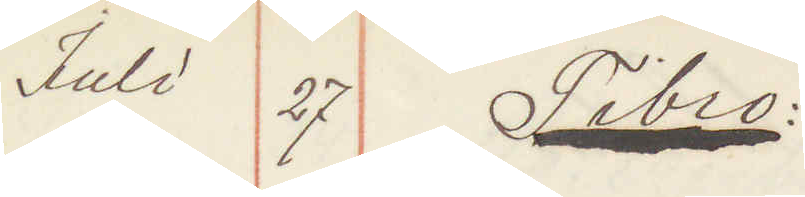Juli 27 Tibro:
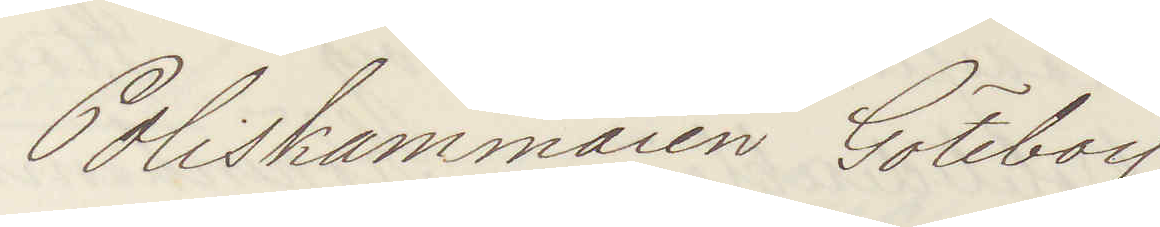Poliskammaren Göteborg.
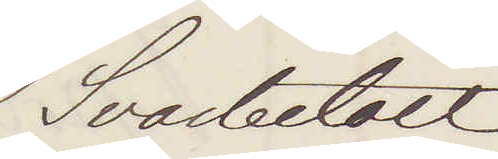Svarbetalt
